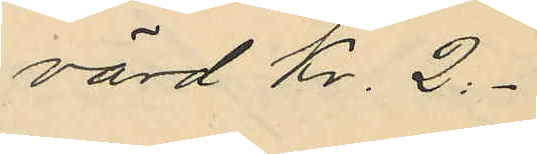värd Kr. 2:-
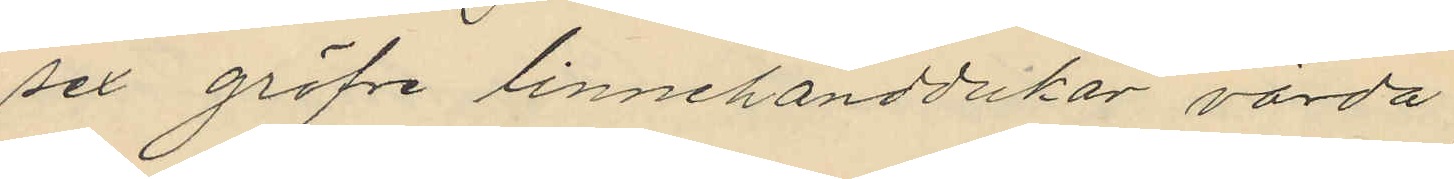sex gröfre linnehanddukar, värda
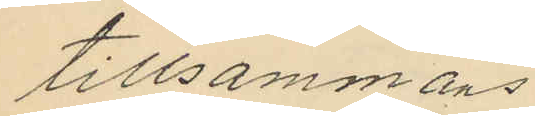tillsammans
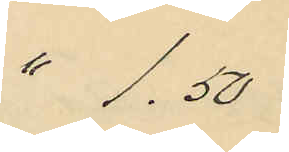" 1,50
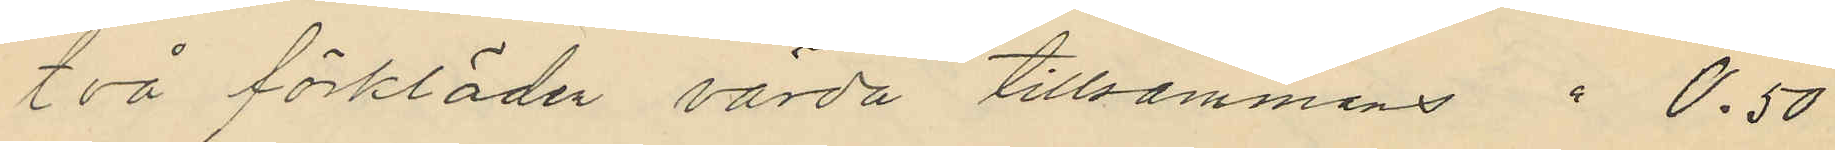två förkläder värda tillsammans " 0.50
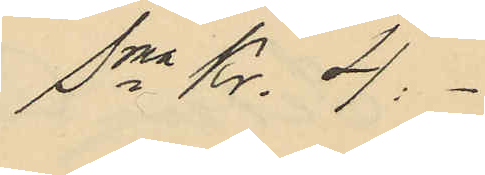Sma Kr. 4:-
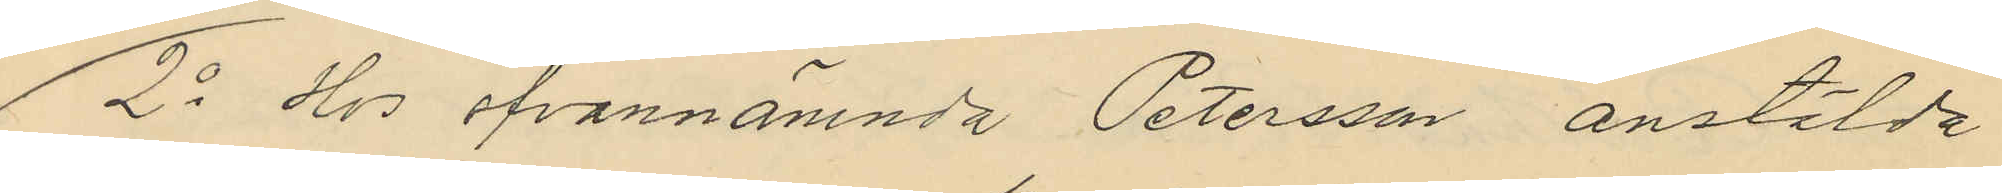2o Hos ofvannämnda Petersson anstälda
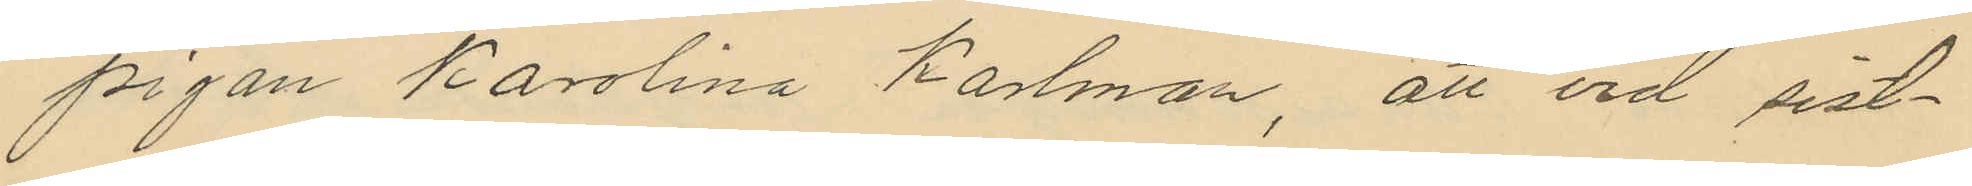pigan Karolina Karlman, att vid sist¬
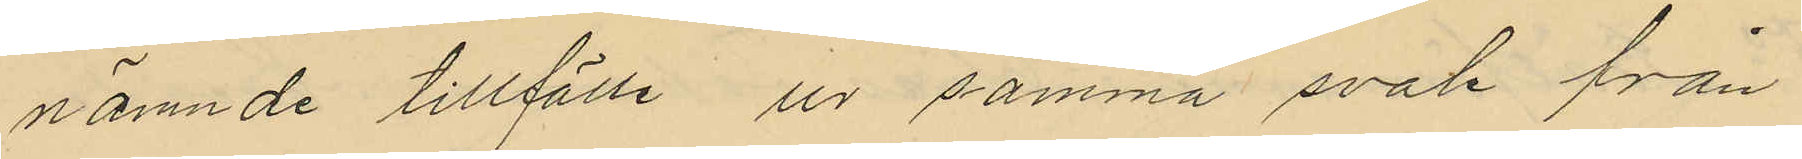nämnde tillfälle ur samma svale från
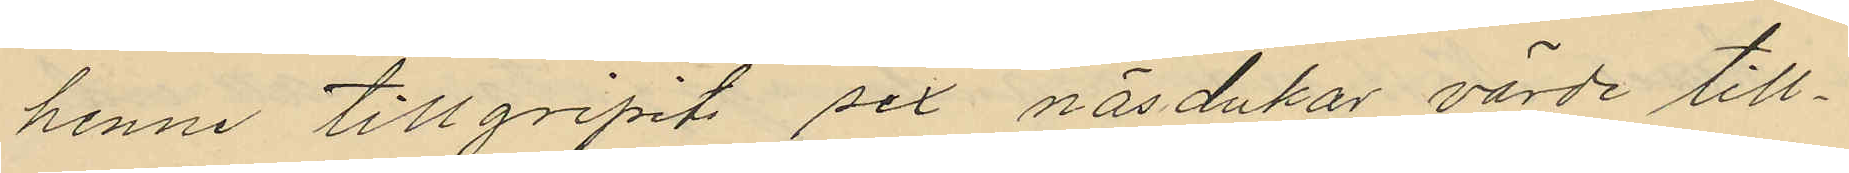henne tillgripits sex näsdukar värde till¬
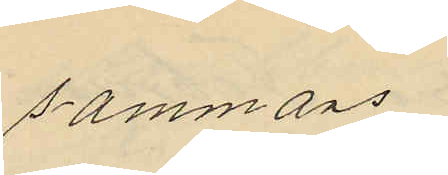sammans
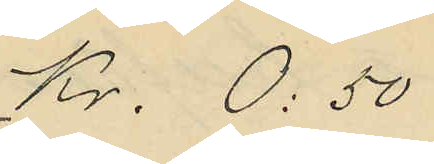Kr. 0:50
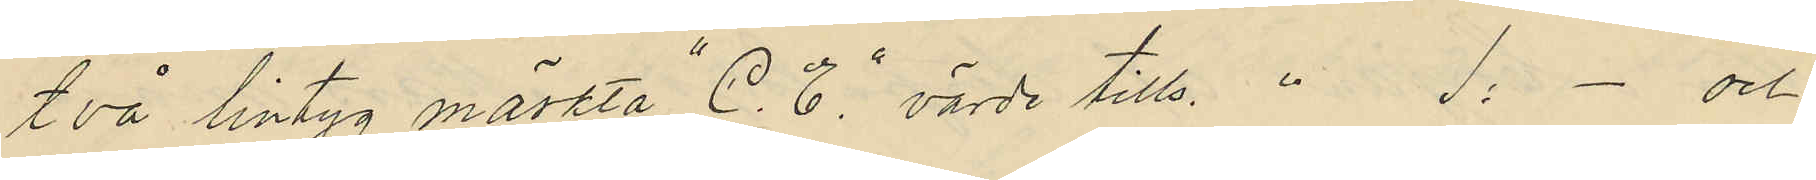två lintyg märkta "C. E." värde tills " 1:- och
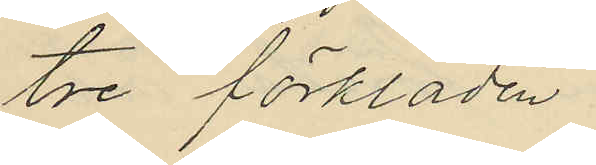tre förkläden.
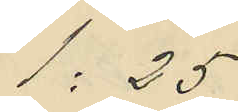1:25
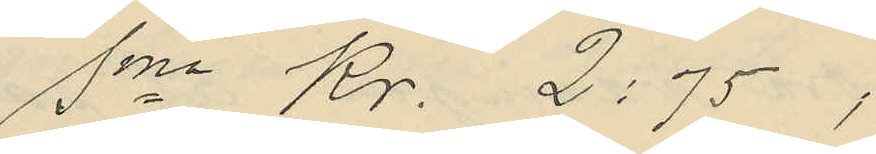Sma Kr. 2:75,
